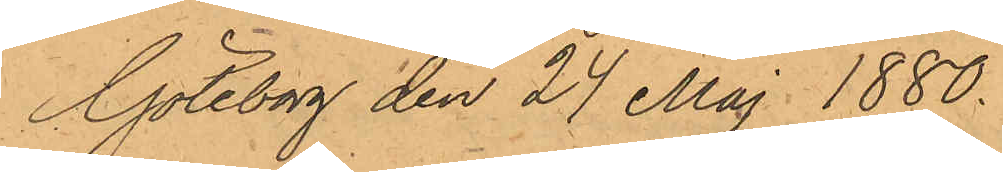Göteborg den 24 Maj 1880.
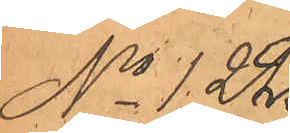No 122.
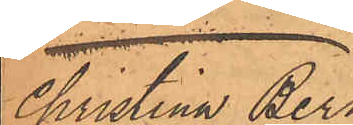Christina Bern¬
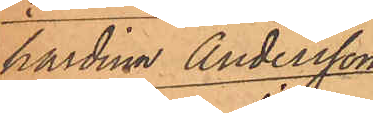hardina Andersson
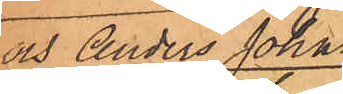och Anders Johan
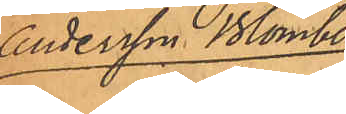Andersson Blomberg.
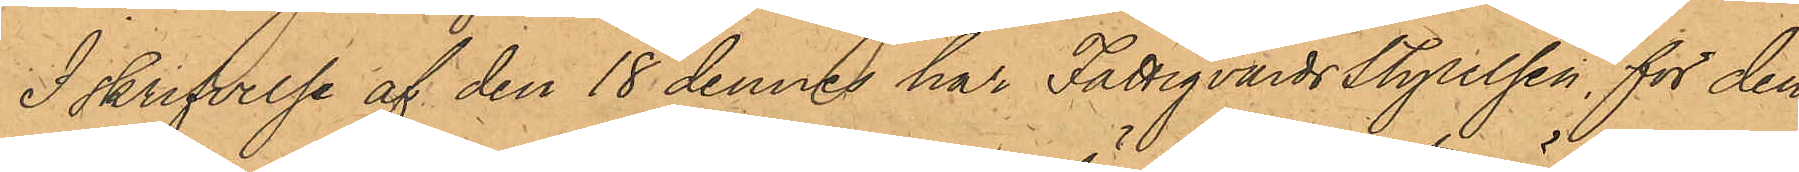I skrifvelse af den 18 dennes har FattgvårdsStyrelsen, för den
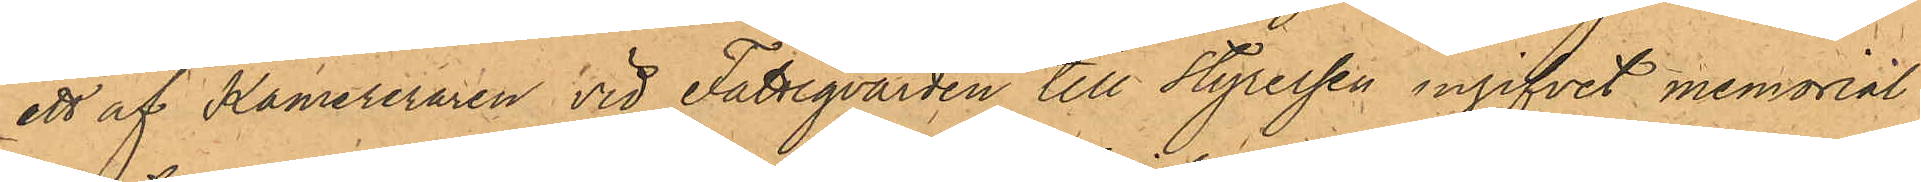ett af Kamereraren vid Fattigvården till Styrelsen ingifvit memorial
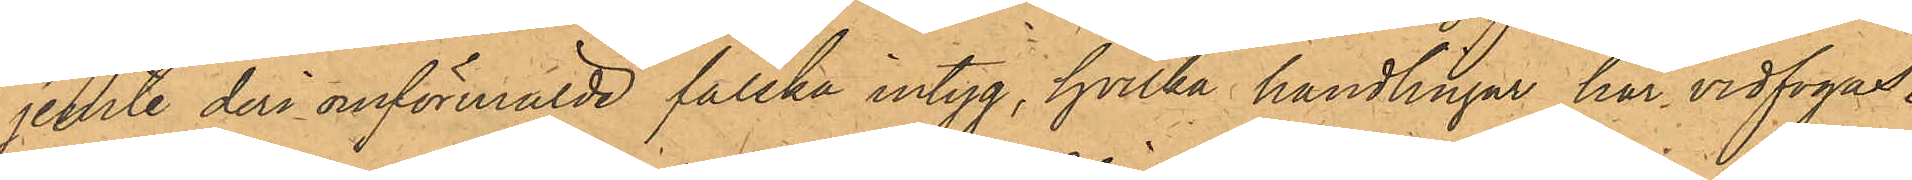jemte deri omförmälde falska intyg, hvilka handlingar har vidfogas.
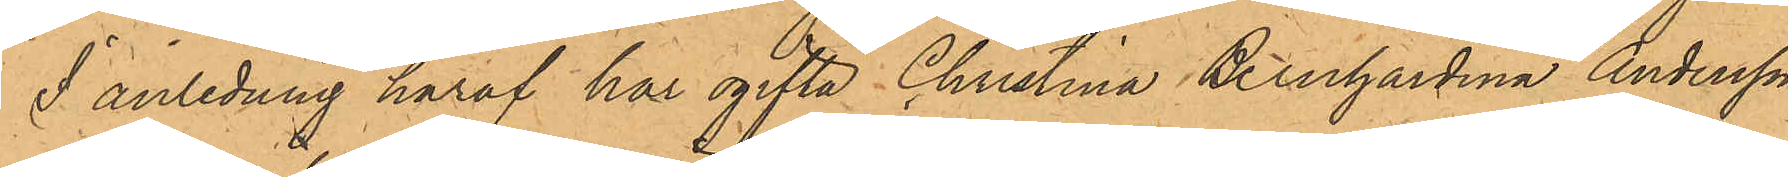I anledning häraf har ogifta Christina Bernhardina Andersson,
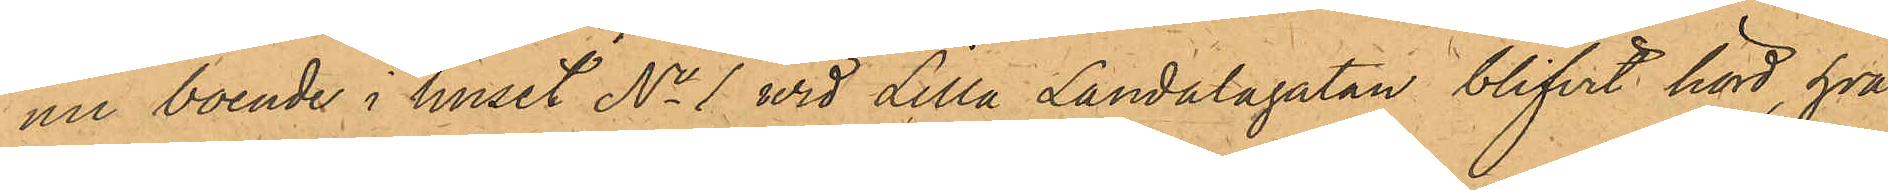nu boende i huset No 1 wid Lilla Landalagatan blifvit hörd, hvar¬
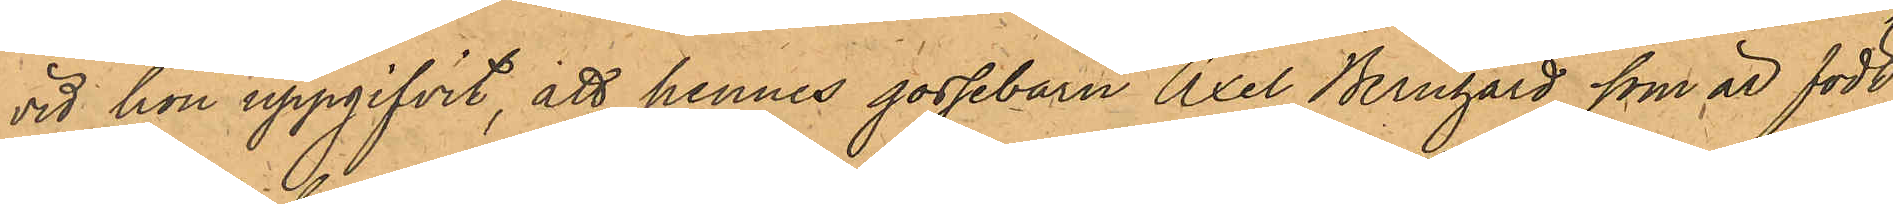vid hon uppgifvit att hennes gossebarn Axel Bernhard, som är född
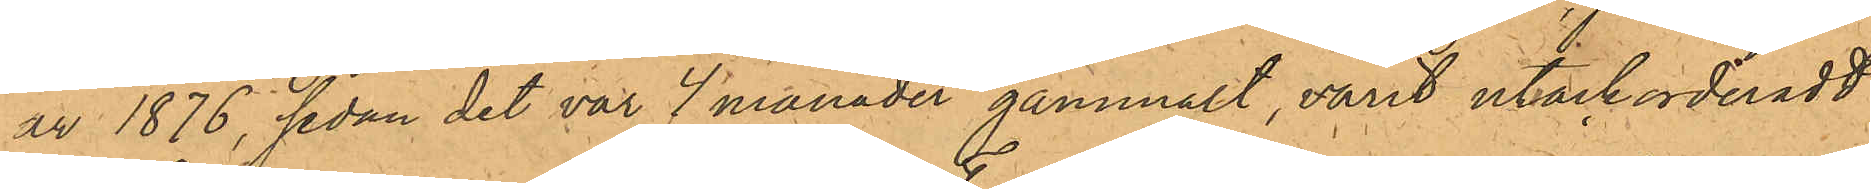år 1876, sedan det var 7 månader gammalt, varit utackorderadt
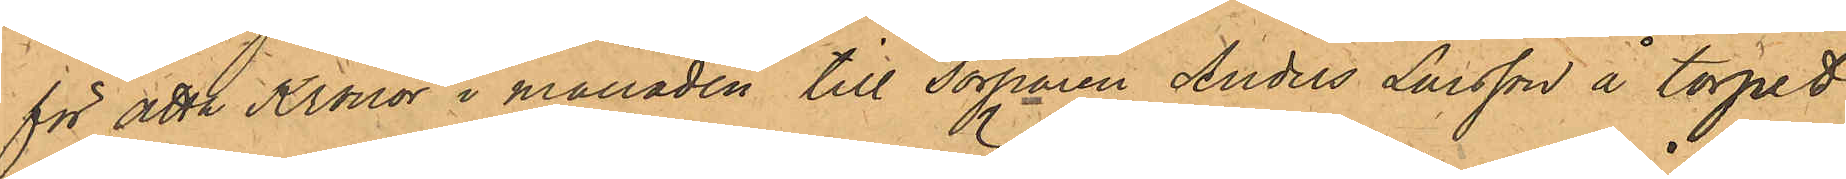för åtta Kronor i månaden till Torparen Anders Larsson å torpet
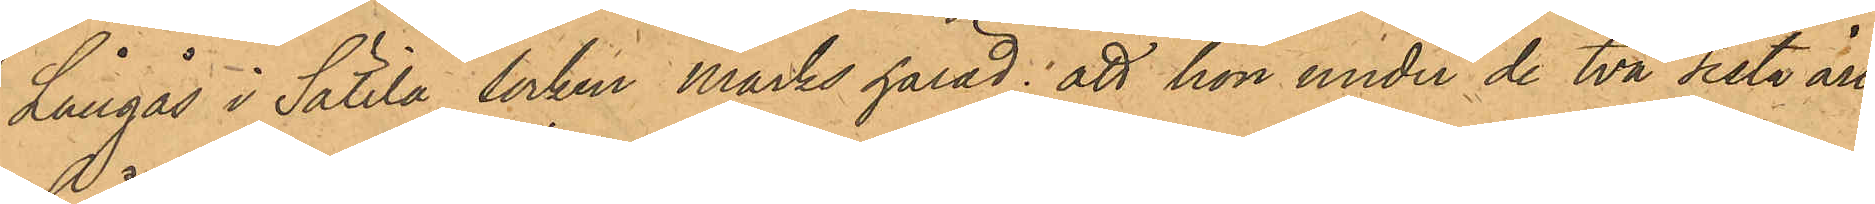Långås i Sätila socken Marks härad; att hon under de två sista åren
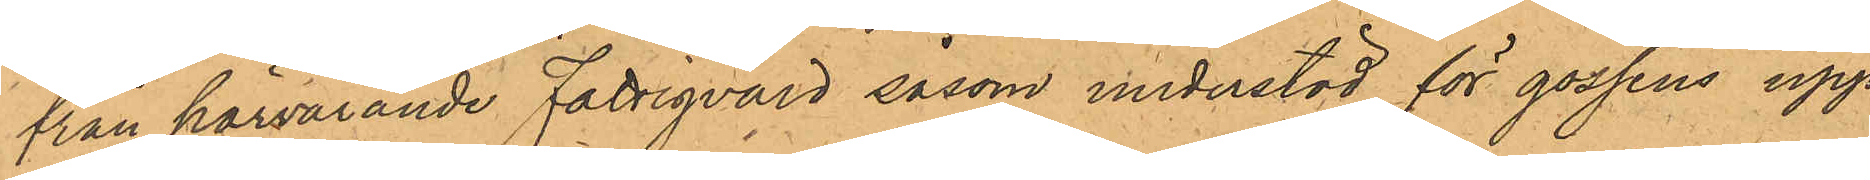från härvarande Fattigvård såsom understöd för gossens upp¬
